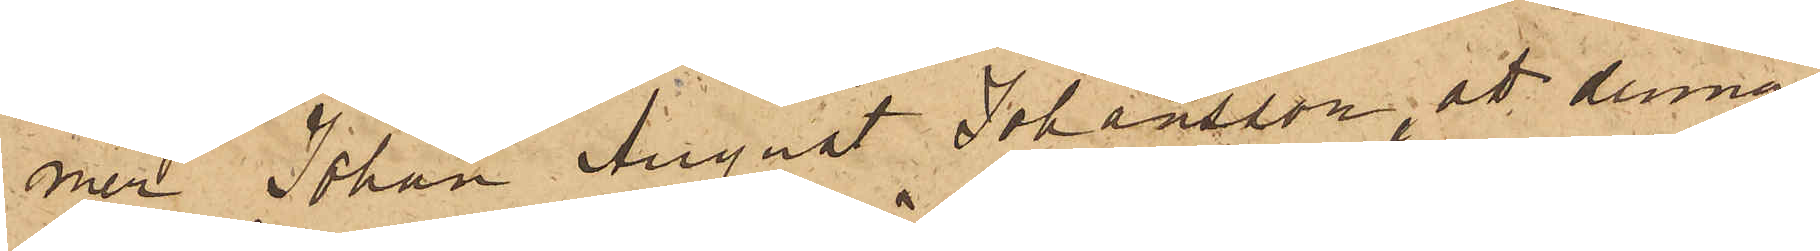mer Johan August Johansson att denna
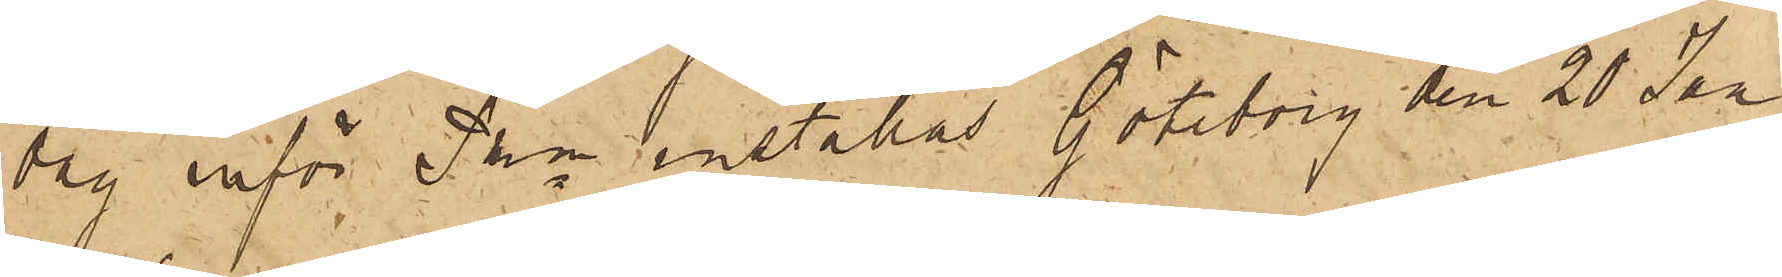dag inför PKn inställas. Göteborg den 20 Jan
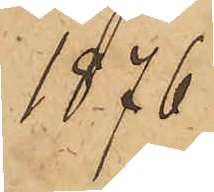1876
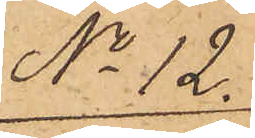No 12.
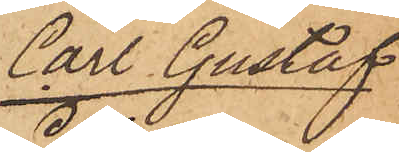Carl Gustaf
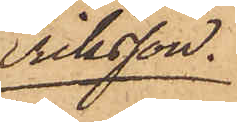Eriksson.
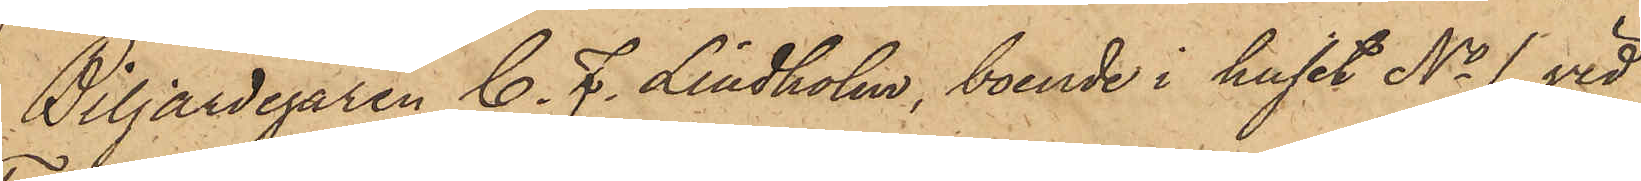Biljardegaren C. F. Lindholm, boende i huset No 1 vid
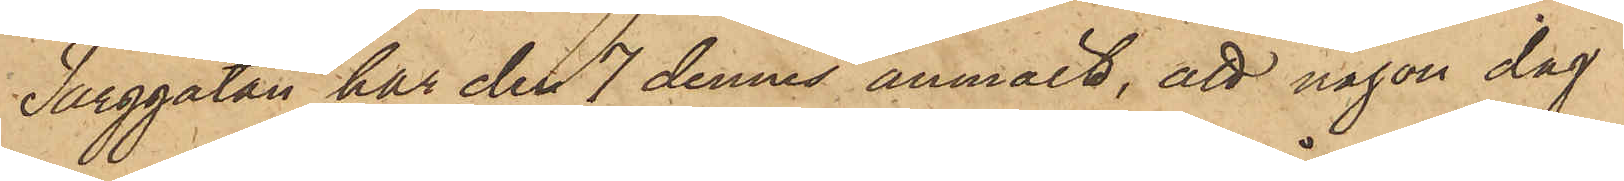Torggatan har den 7 dennes anmält, att någon dag
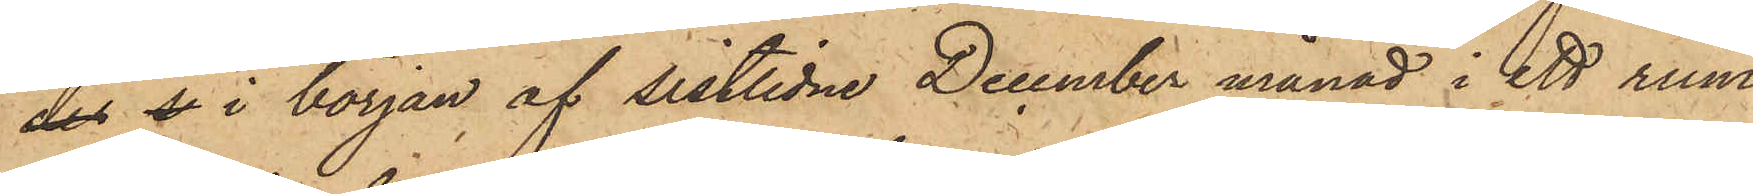des de i början af sistlidne December månad i ett rum
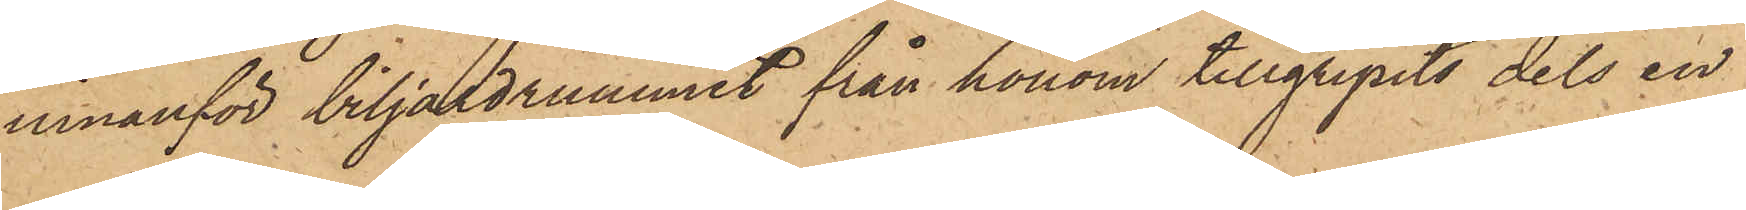innanför biljadrummet från honom tillgripits dels en
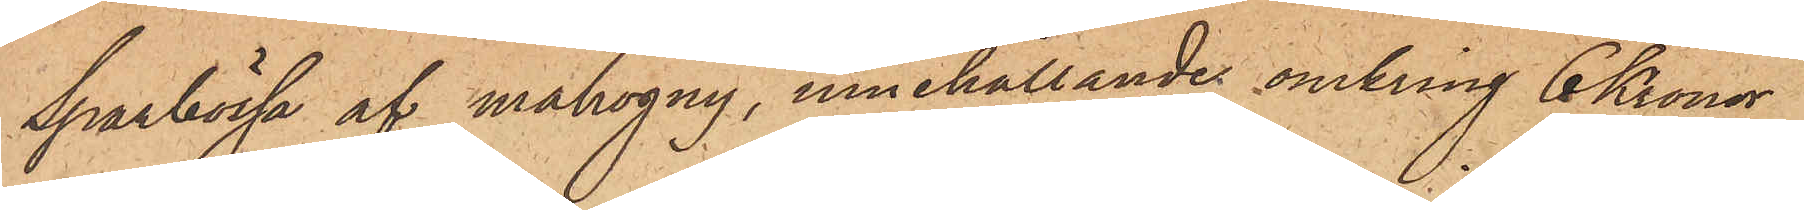sparbössa af mahogny, innehållande omkring 6 Kronor
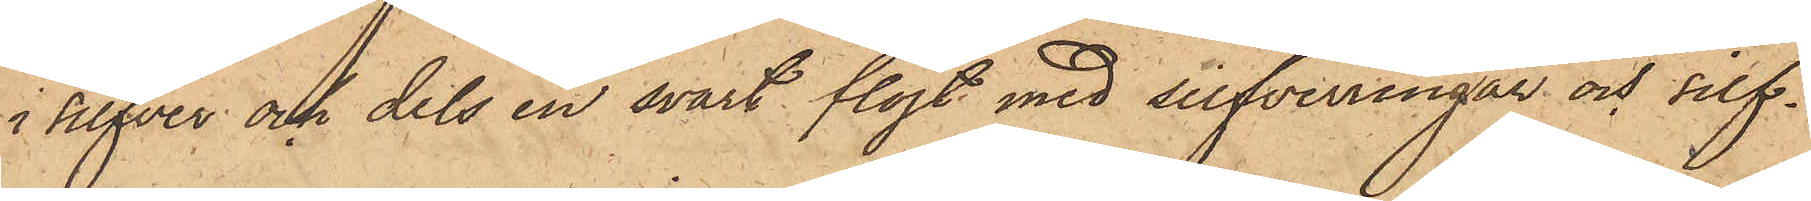i silfver och dels en svart flöjt med silfverringar och silf¬
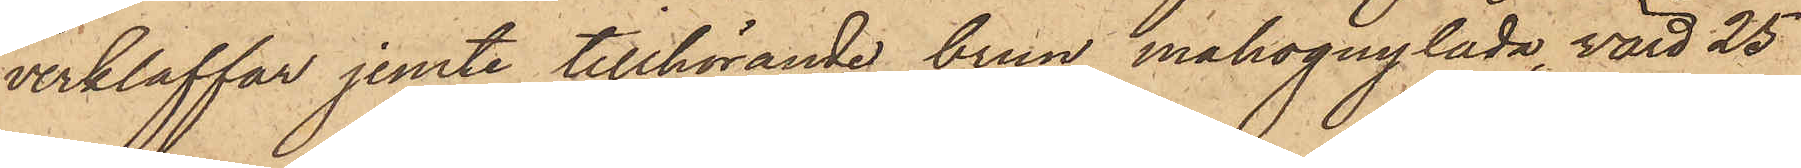verklaffar jemte tillhörande brun mahognylåda, värd 25
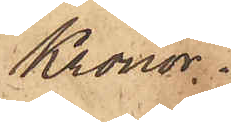Kronor.
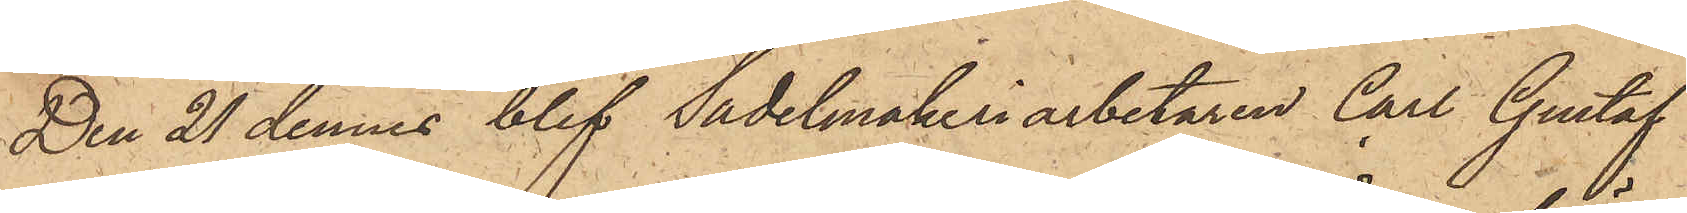Den 21 dennes blef Sadelmakeriarbetaren Carl Gustaf
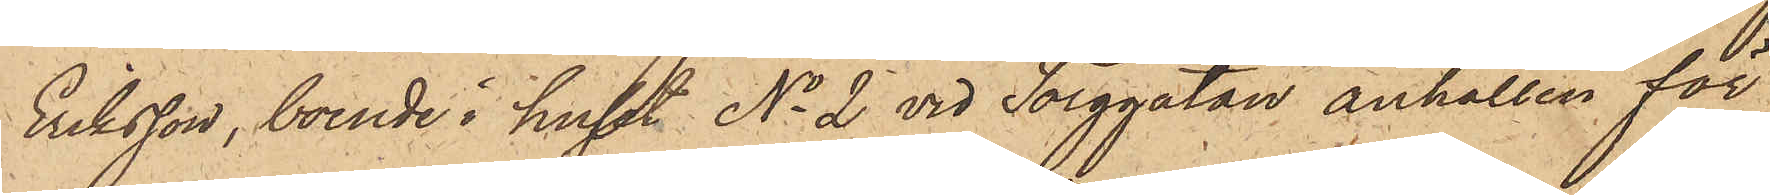Eriksson, boende i huset No 2 vid Torggatan anhållen för
